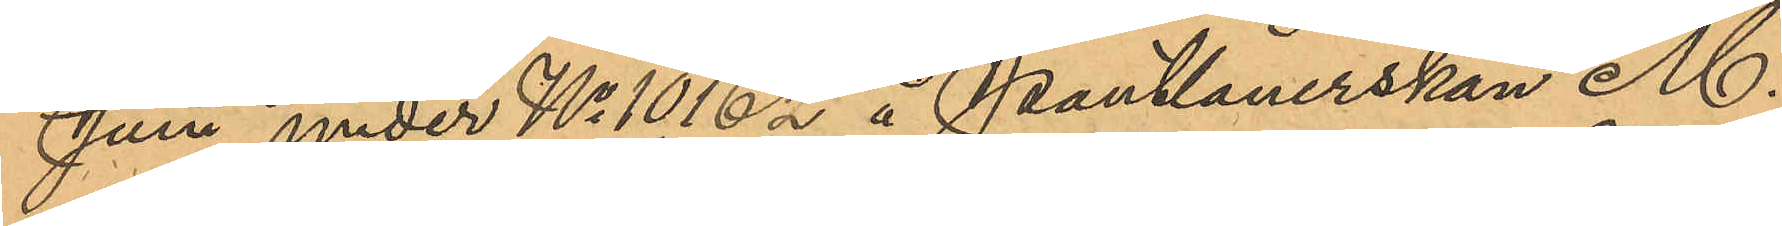Juni under No 10,162 å Pantlånerskan M.
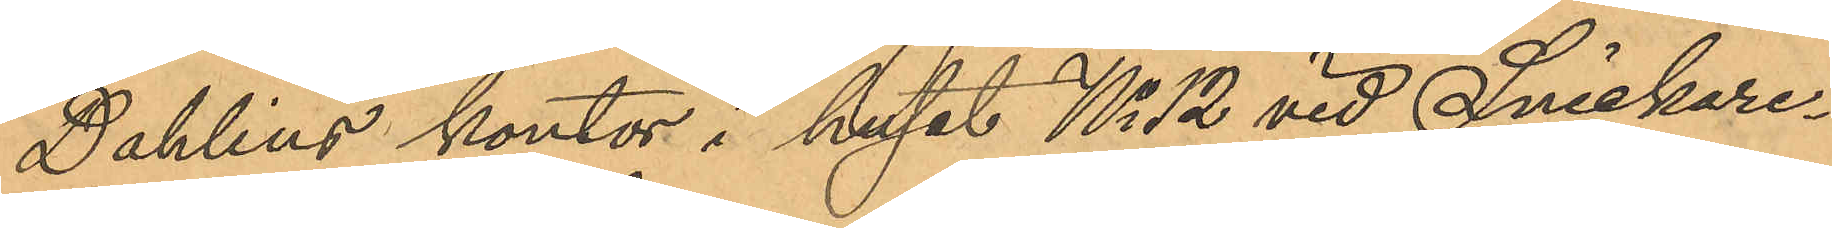Dahlins kontor i huset No 12 vid Snickare¬
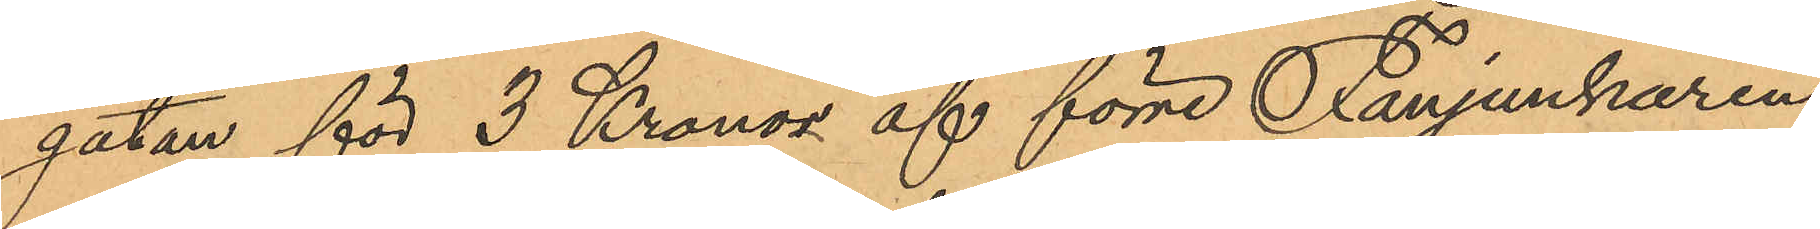gatan för 3 Kronor af förre Fanjunkaren
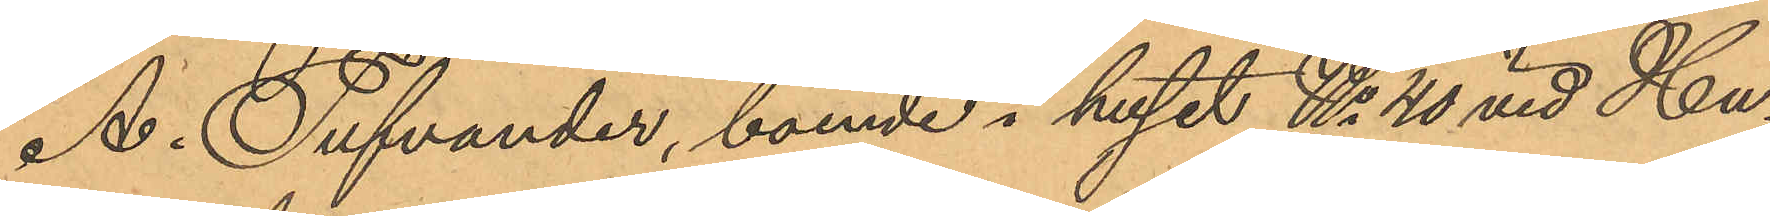A. Tufvander, boende i huset No 40 vid Hu¬
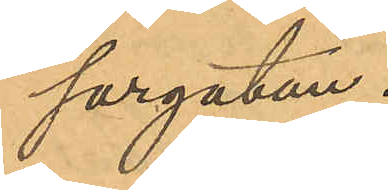sargatan.
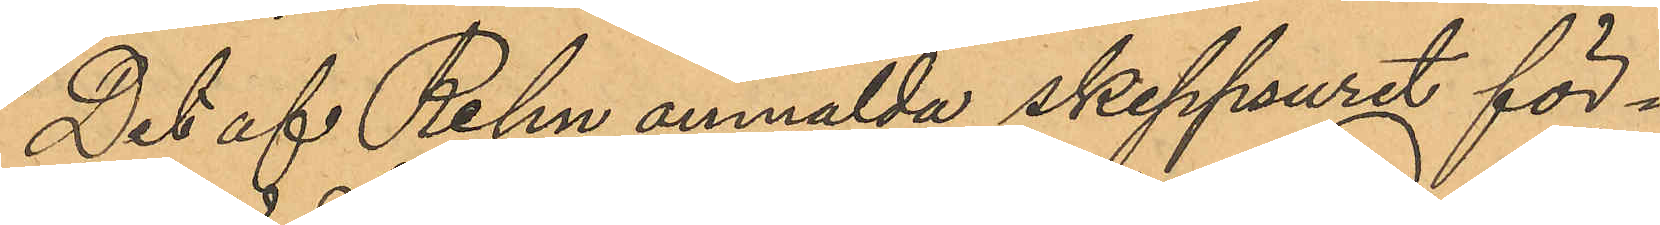Det af Rehn anmälda skeppsuret för¬
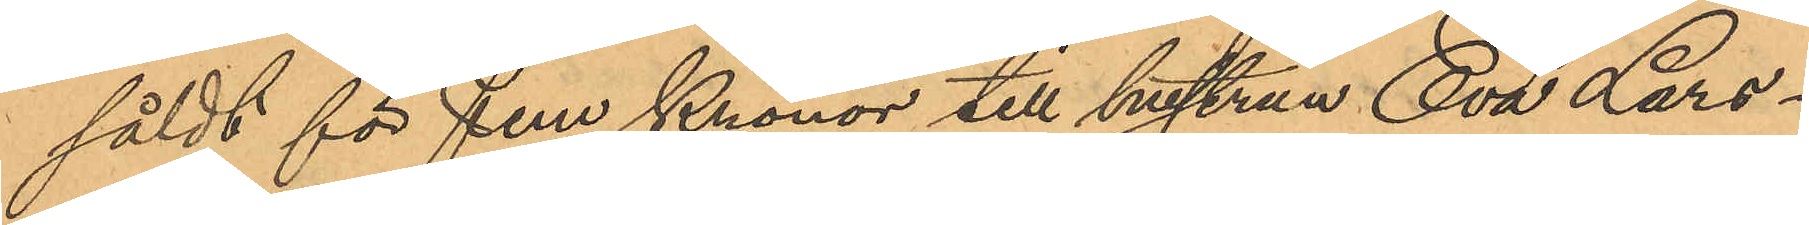såldt för fem Kronor till hustrun Eva Lars¬
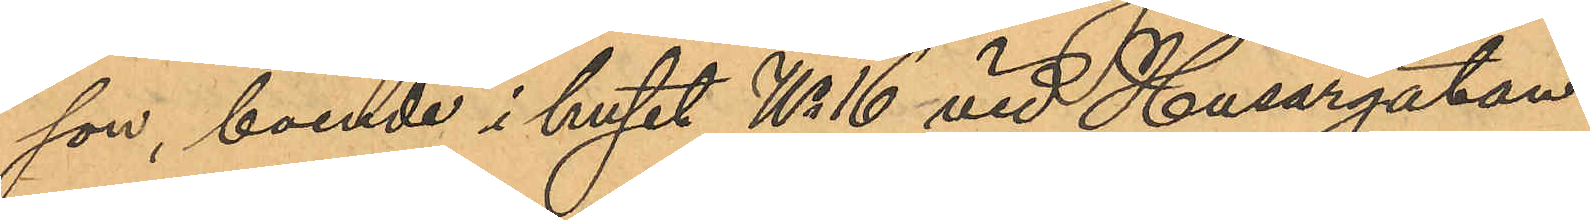son, boende i huset No 16 vid Husargatan.
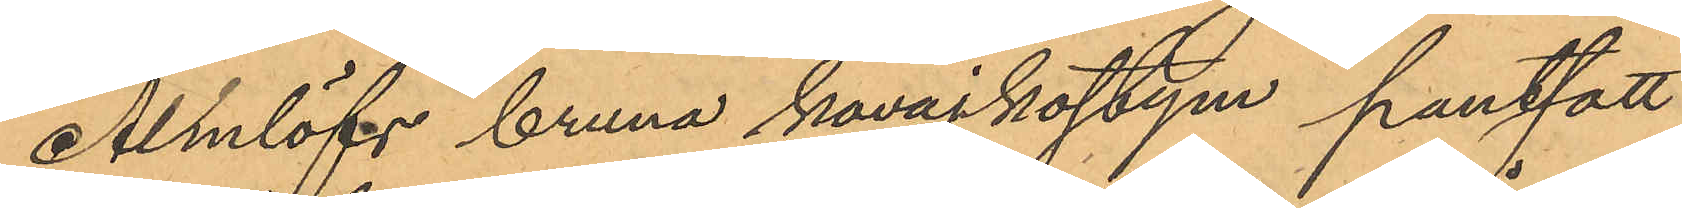Almlöfs bruna kavajkostym pantsatt
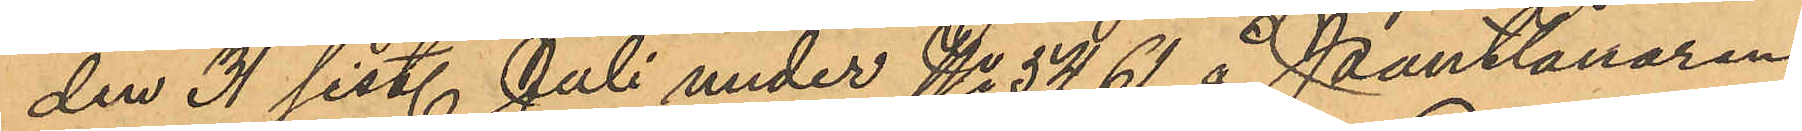den 31 sist. Juli under No 5,461 å Pantlånaren
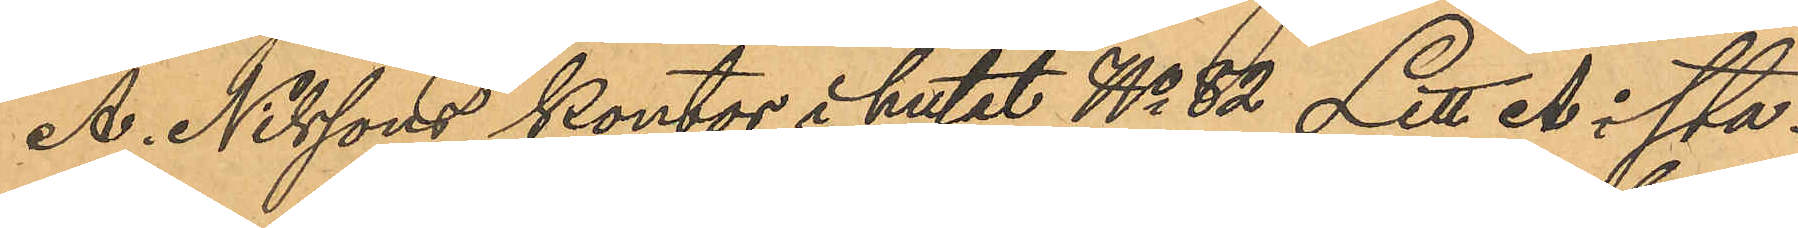A. Nilssons kontor i huset No 82 Litt A i sta¬
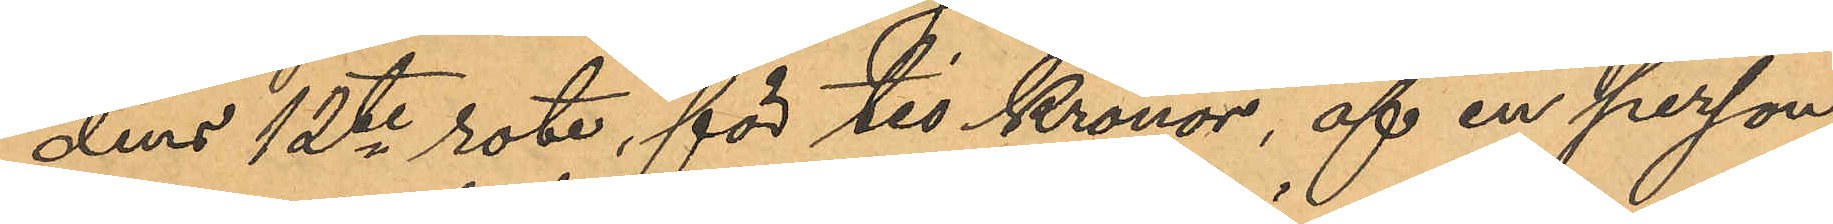dens 12te rote, för tio Kronor, af en person,
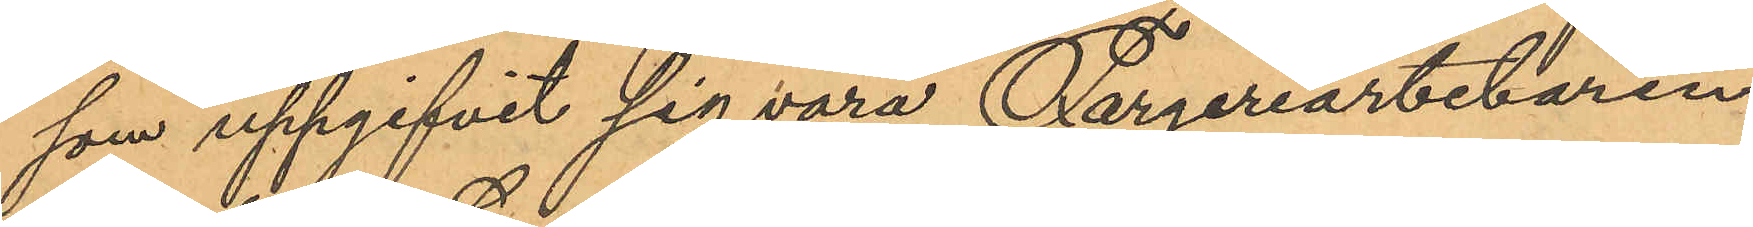som uppgifvit sig vara Färgeriarbetaren
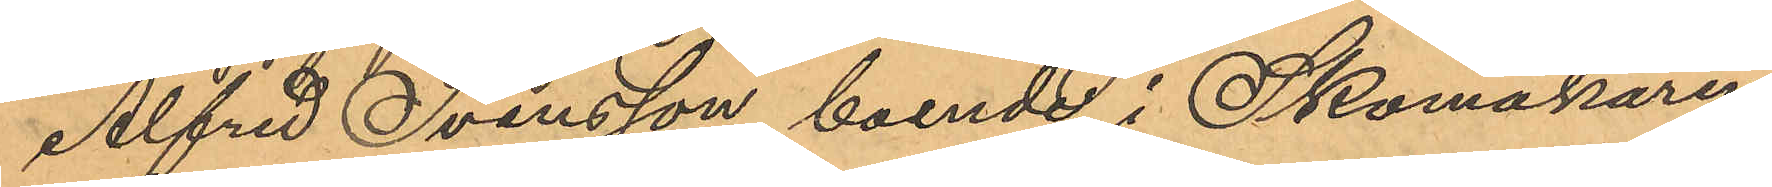Alfred Svensson, boende i Skomakaren
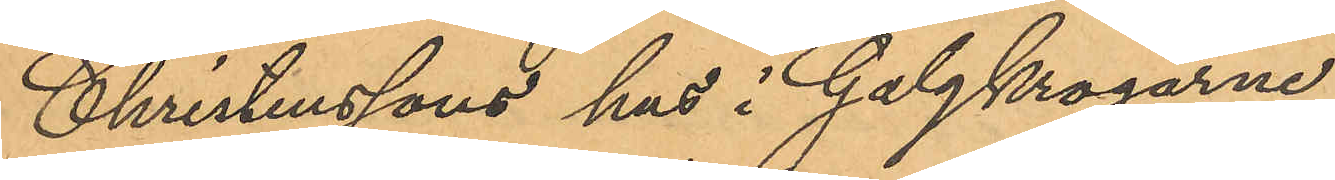Christenssons hus i Galgkrogarne.
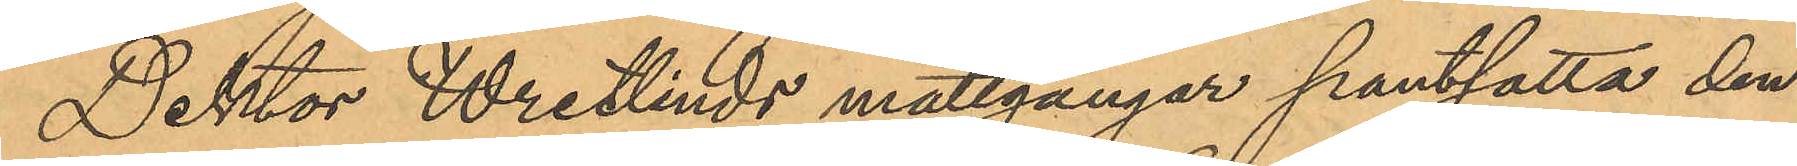Doktor Wretlinds mattgångar pantsatta den
